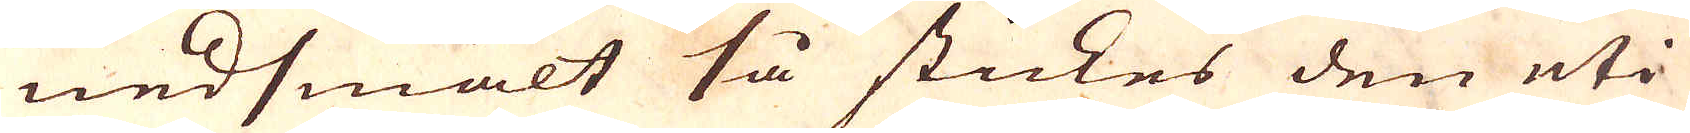nedsmält så stickes den uti
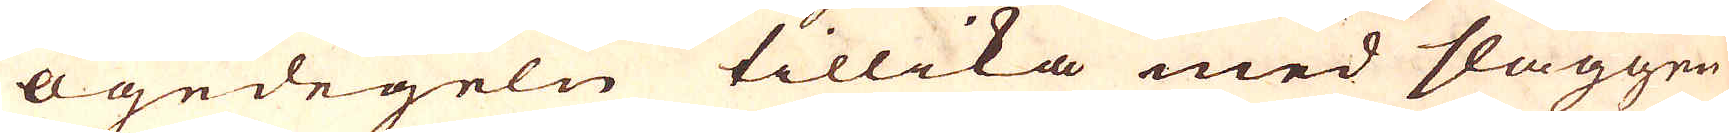Ögedegeln tillika med slaggen
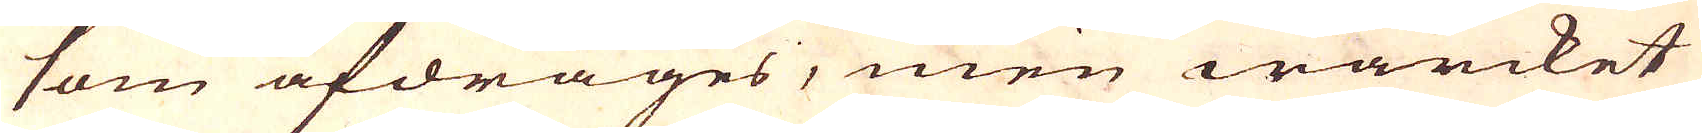som afdrages, men wärcket
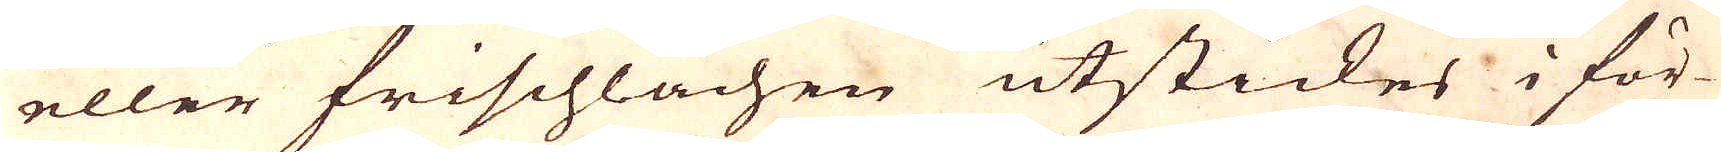eller frischlächen utstickes i för-
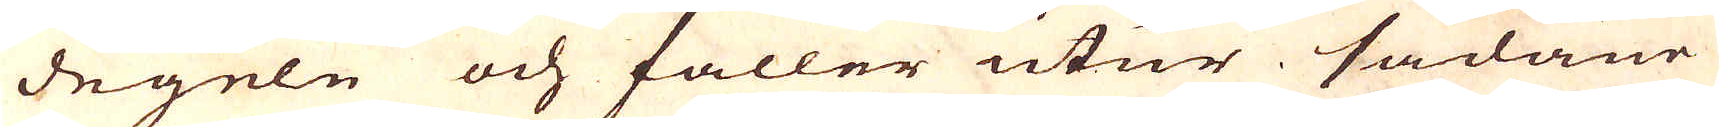degeln och faller utur sådane
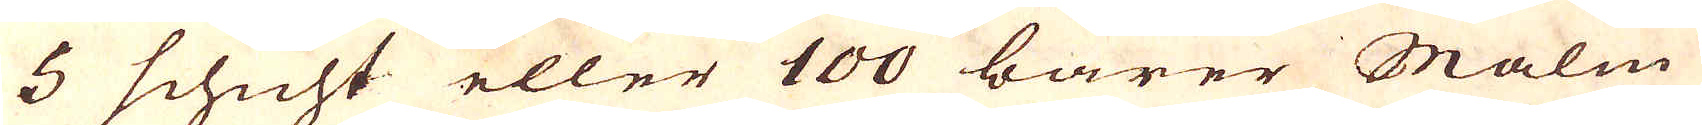5 schicht eller 100 barer Malm
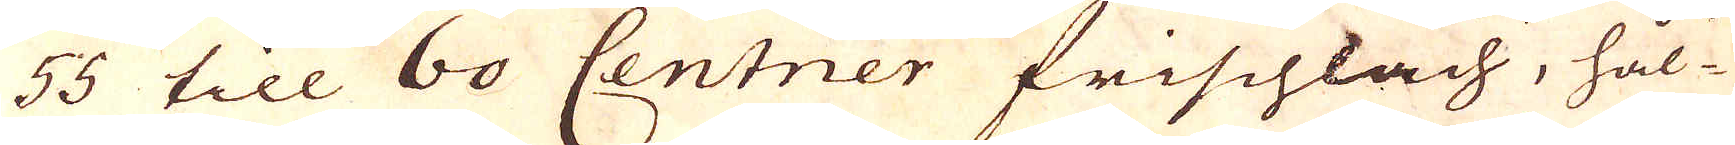55 till 60 Centner frischläch, hål-
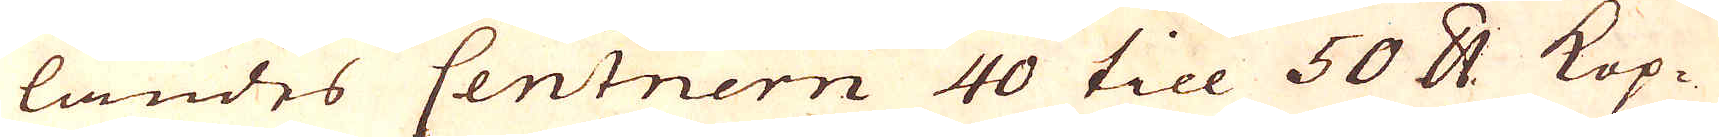landes Centnern 40 till 50 skålpund Kop-
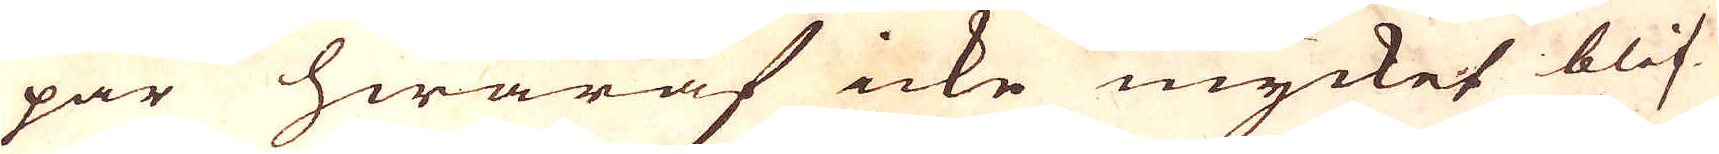par hwaraf icke mycket blif-
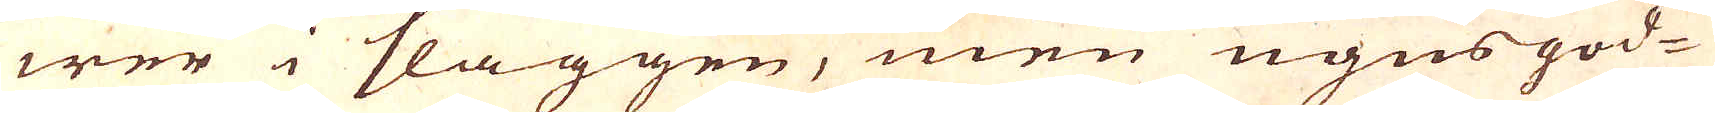wer i slaggen, men ugnsgod-
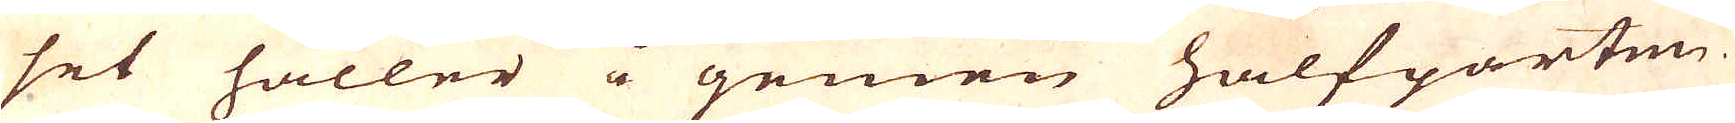set håller i gemen halfparten
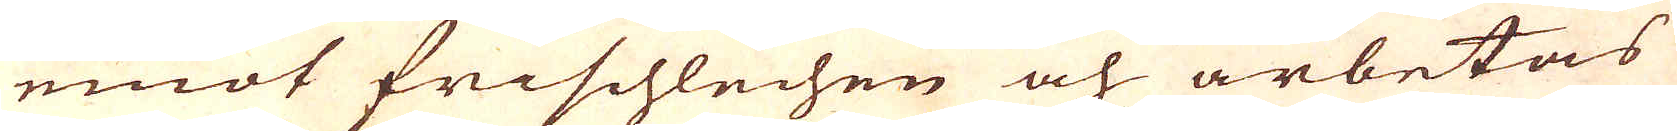emot frischlechen och arbetas
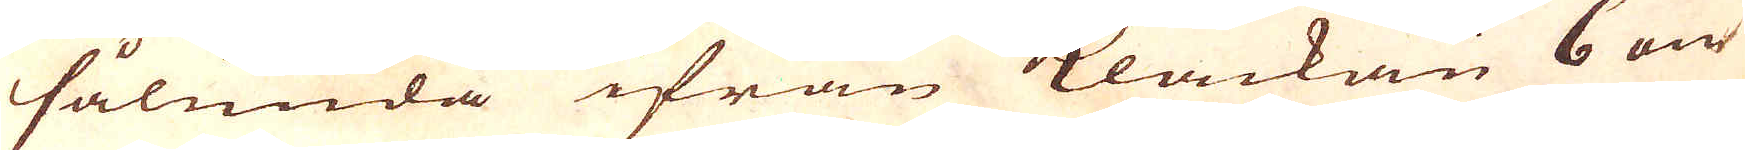sålunda ifrån Klåckan 6 om
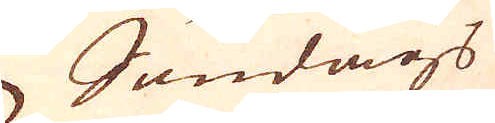Söndags
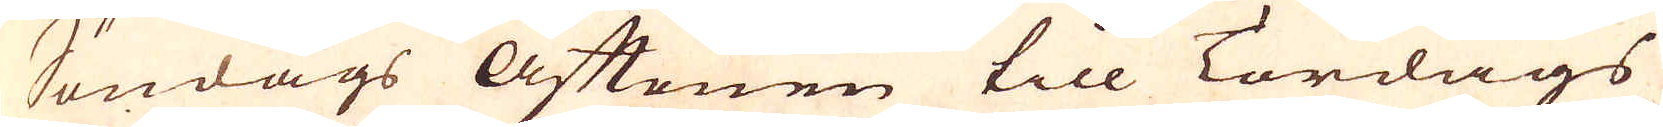Söndags Aftonen till Tordags
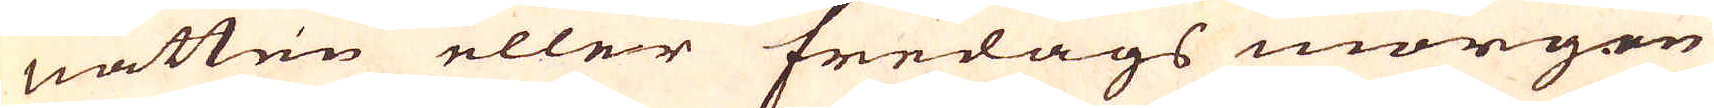natten eller fredags morgon
